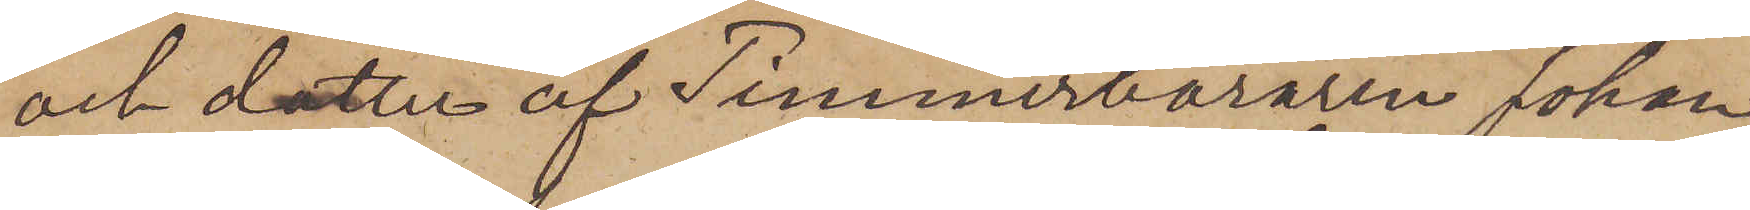och dotter af Timmerbäraren Johan
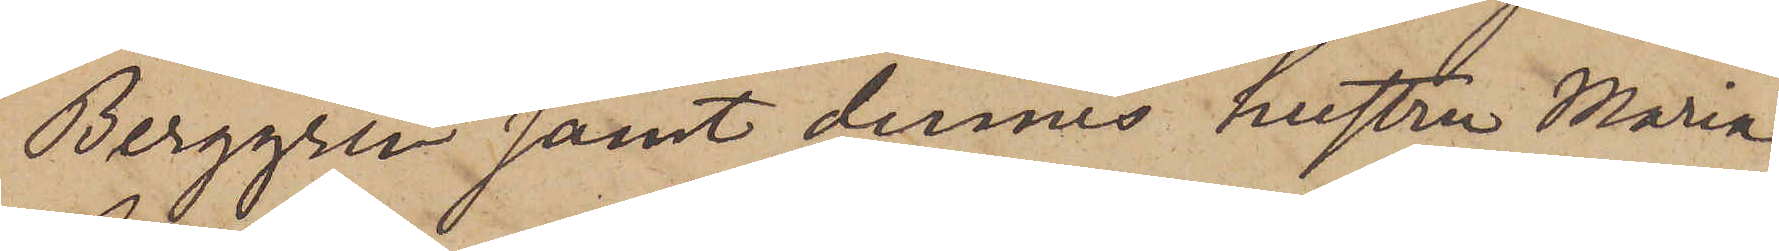Berggren samt dennes hustru Maria
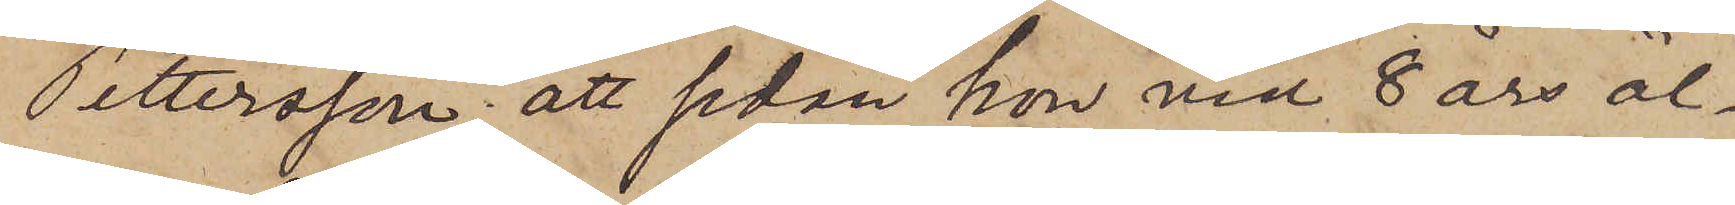Pettersson; att sedan hon vid 8 års ål¬
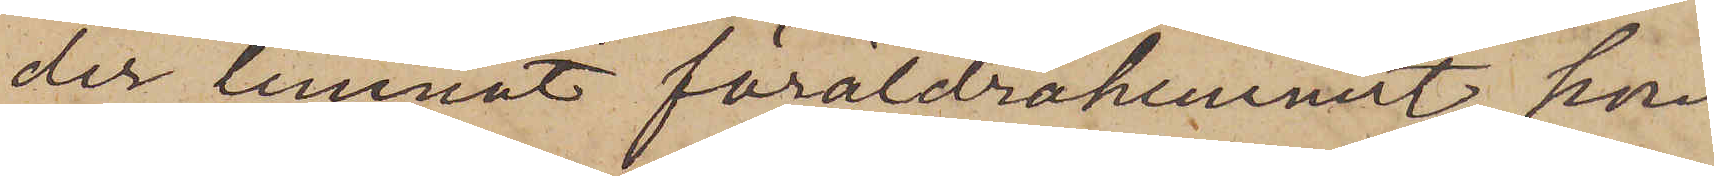der lemnat föräldrahemmet, hon
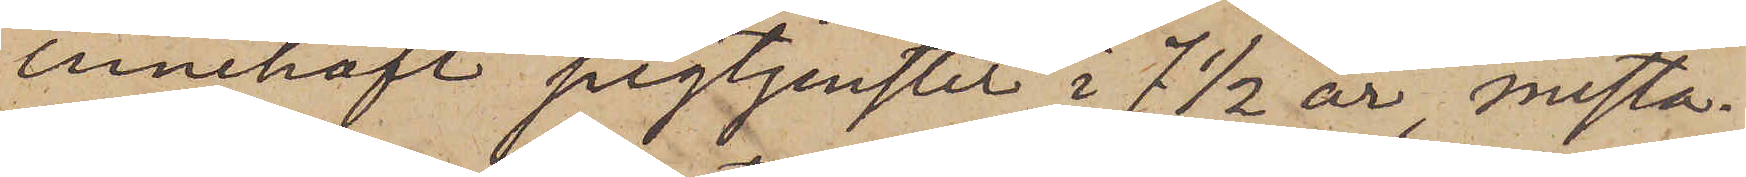innehaft pigtjenster i 7 1/2 år, mesta¬
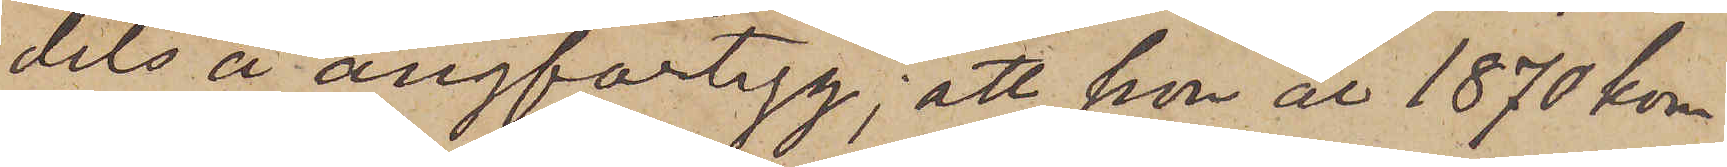dels å ångfartyg; att hon år 1870 kom¬
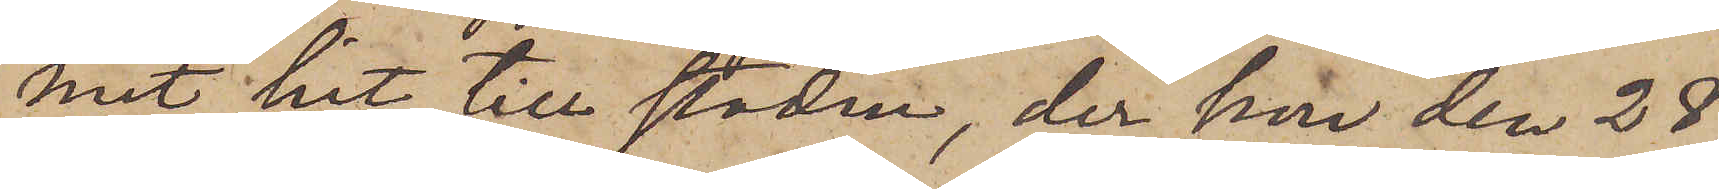mit hit till staden, der hon den 28
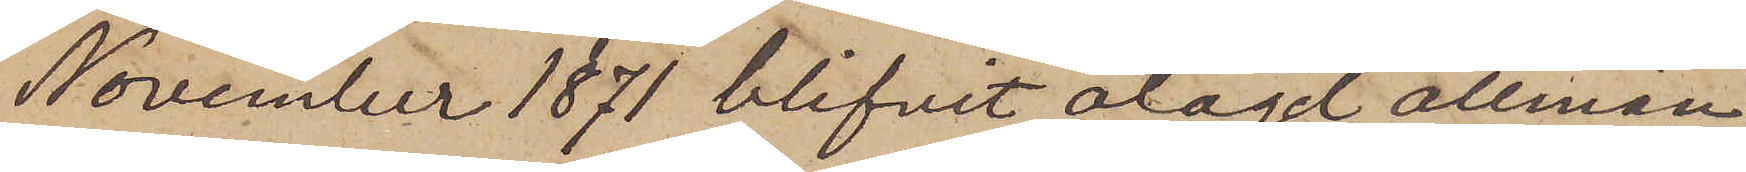November 1871 blifvit ålagd allmän
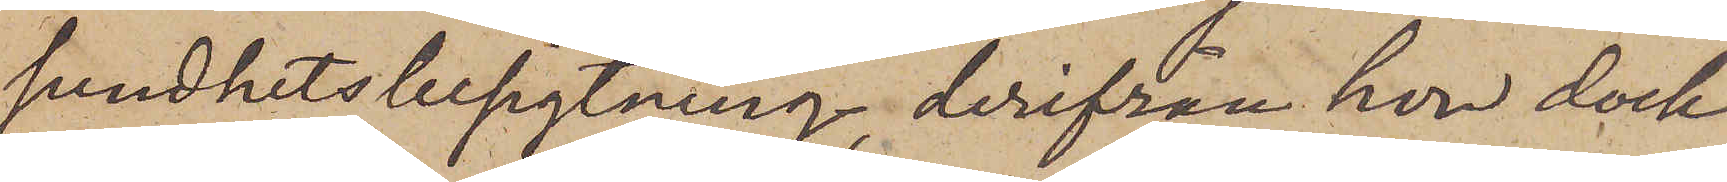sundhetsbesigtning, derifrån hon dock
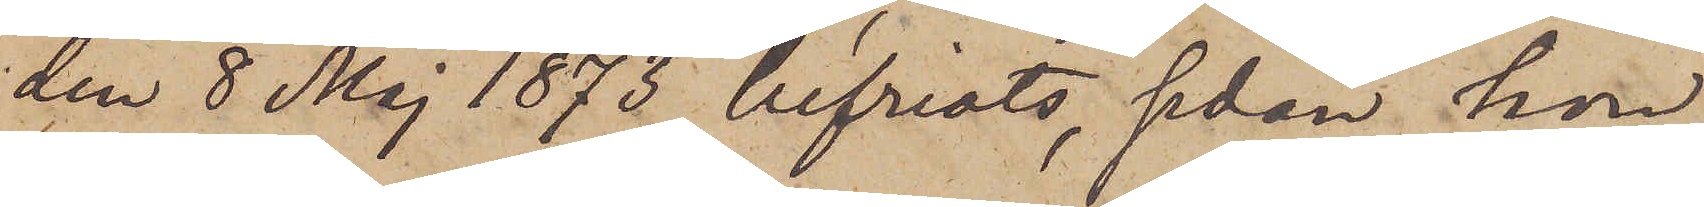den 8 Maj 1873 befriats, sedan hon
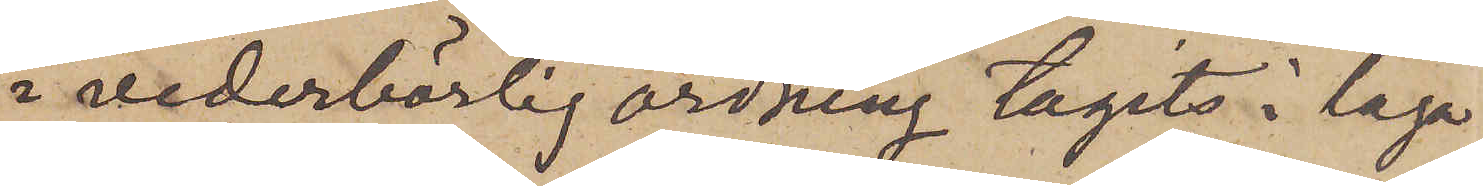i vederbörlig ordning tagits i laga
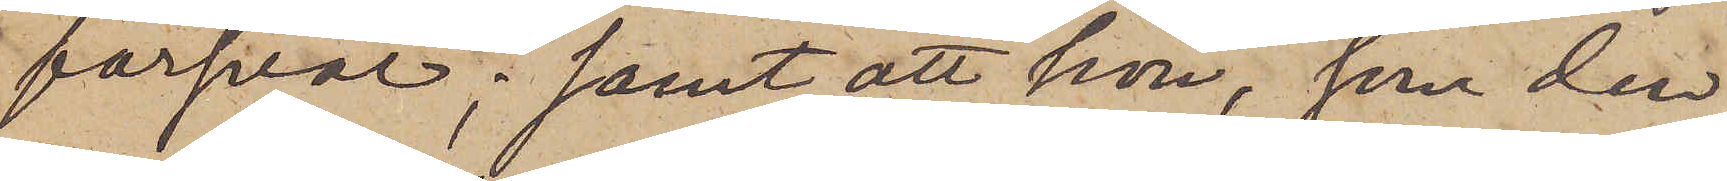försvar; samt att hon, som den
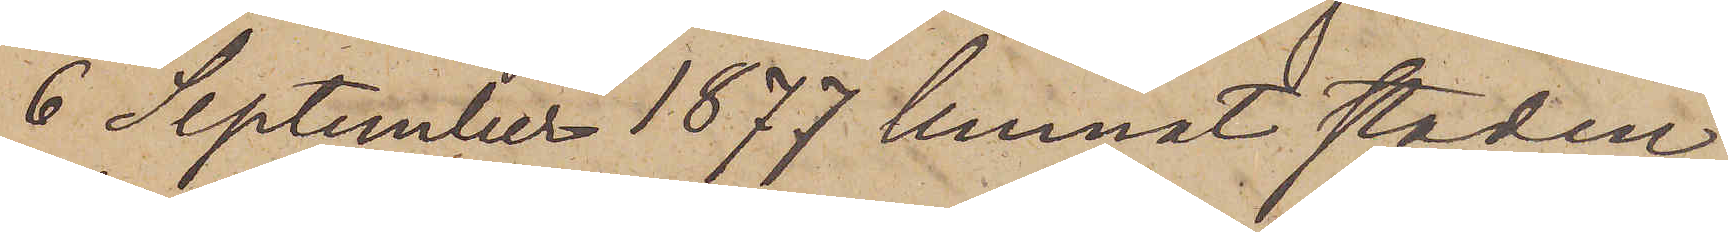6 September 1877 lemnat staden,
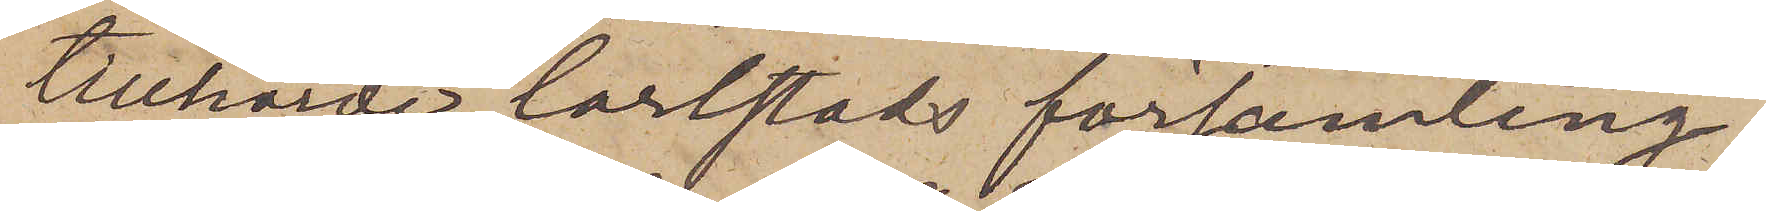tillhörde Carlstads församling.
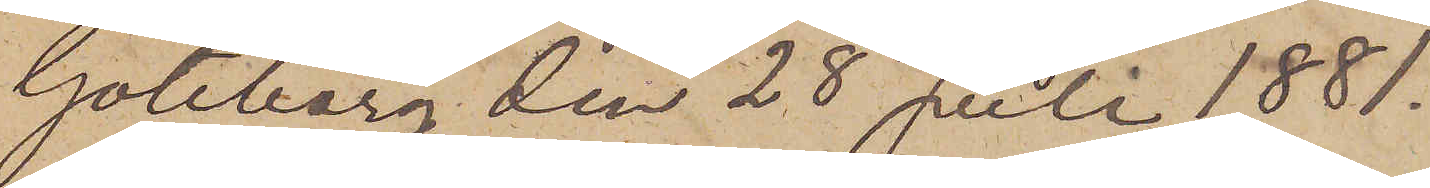Göteborg den 28 Juli 1881.
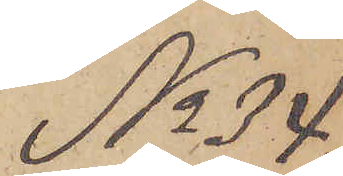No 34
